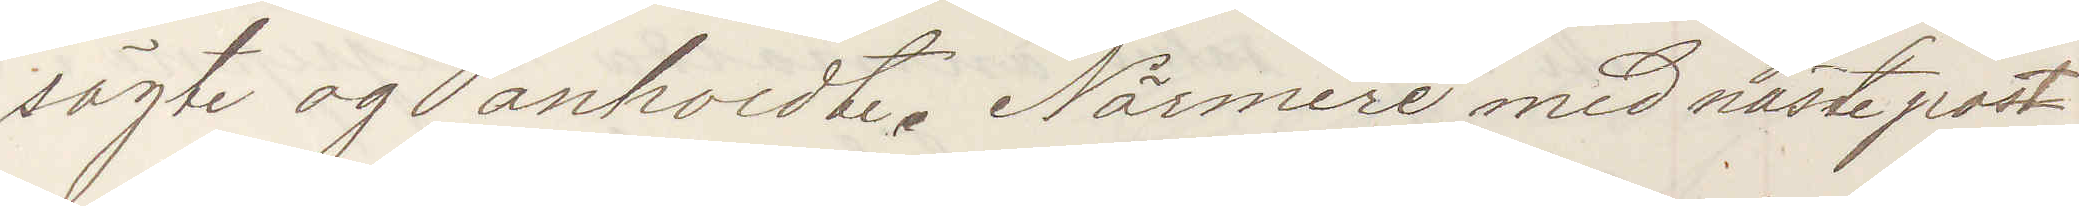sögte og anholdte. Närmere med näste post
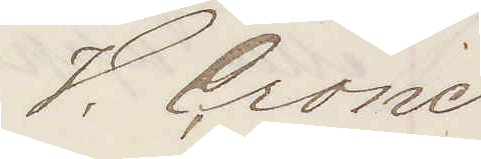V. Crone
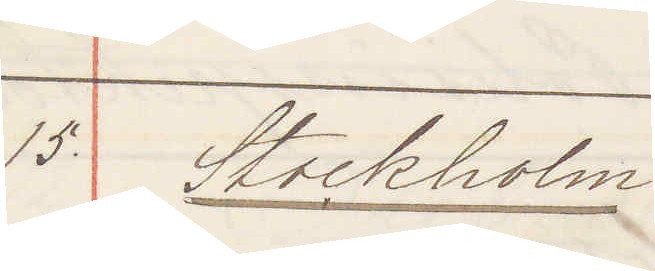15. Stockholm:
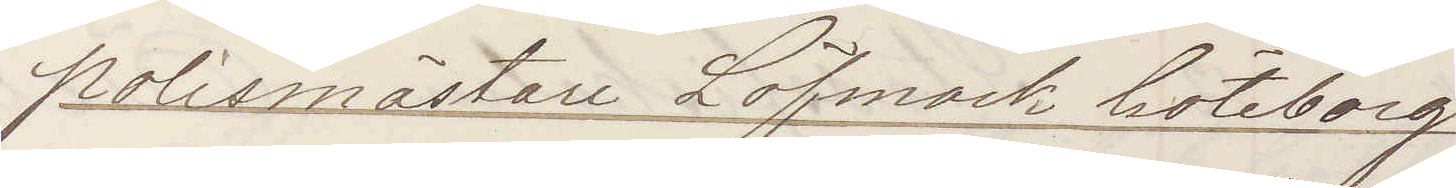Polismästare Löfmark Göteborg
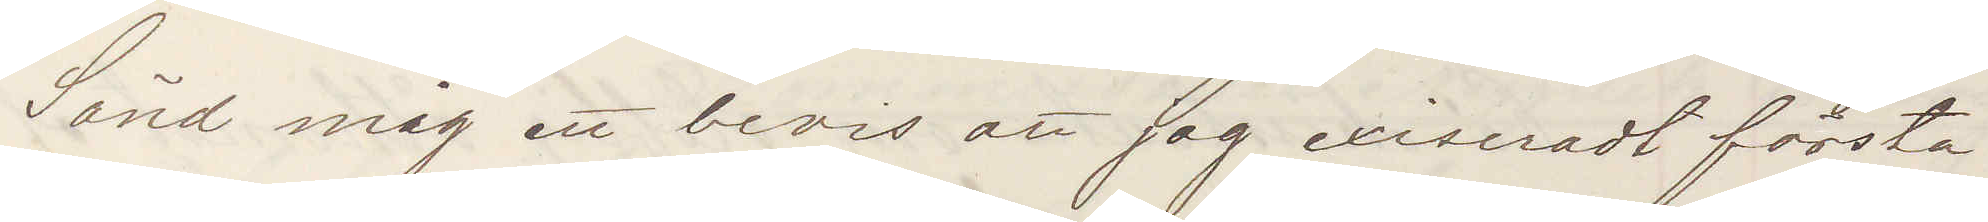Sänd mig ett bevis att jag exiseradt första
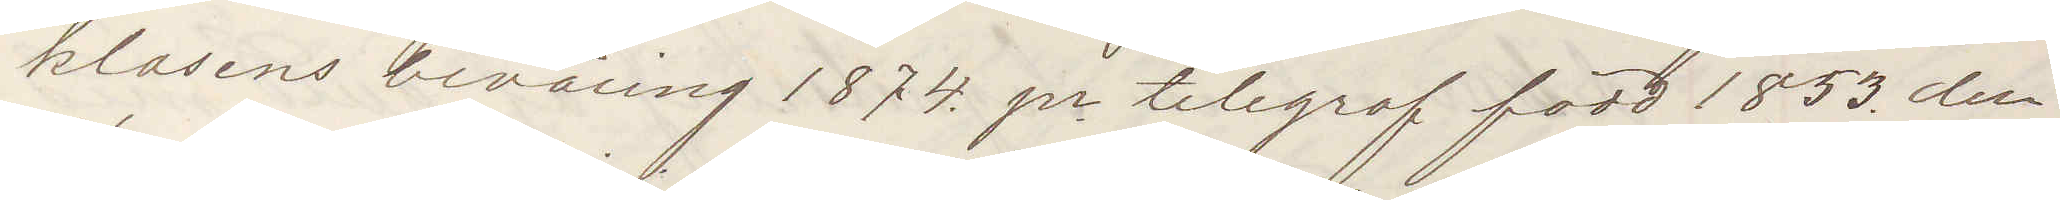klassens beväring 1874 pr telegraf född 1853 den
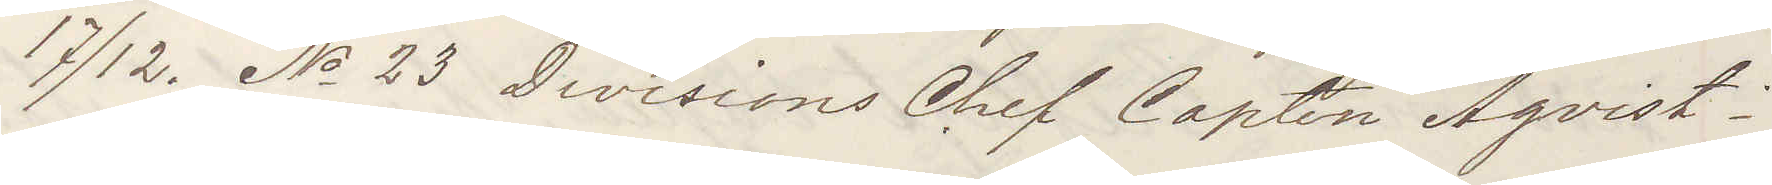17/12 No 23 Divisions Chef Capten Åqvist;
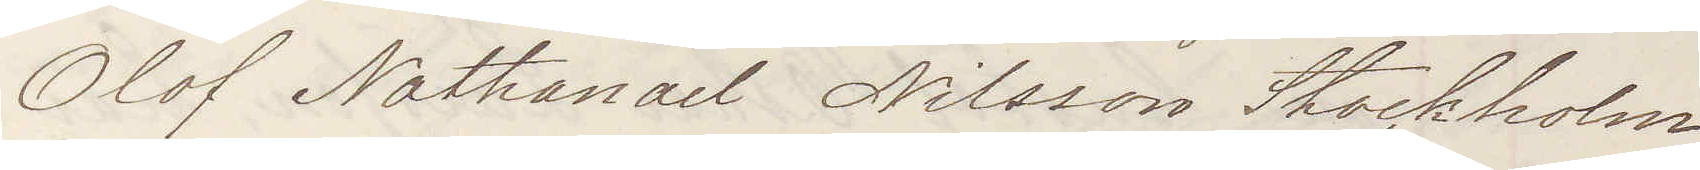Olof Nathanael Nilsson Stockholm
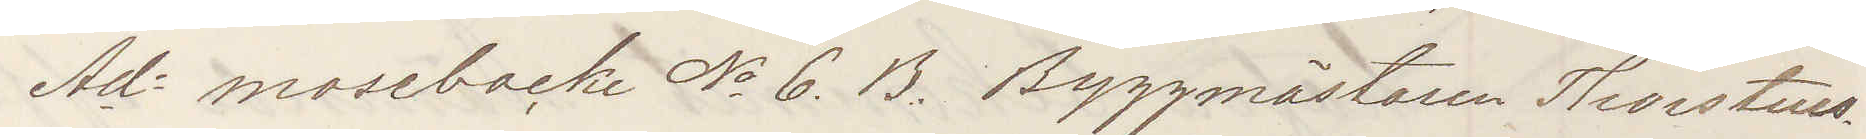Ad mosebacke No 6 B Byggmästaren Thorstens¬
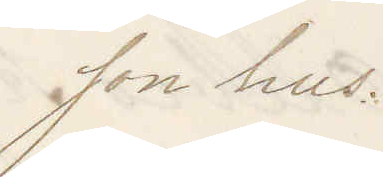son hus.
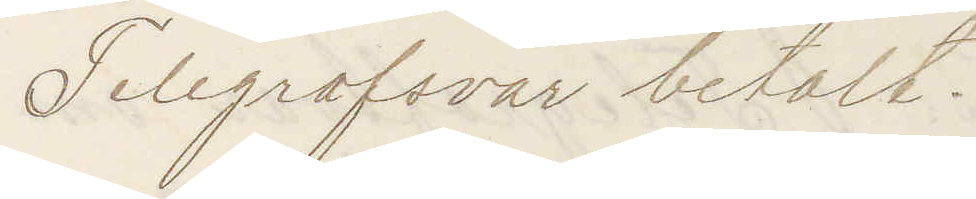Telegrafsvar betalt.
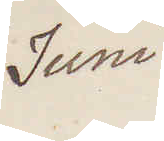Juni
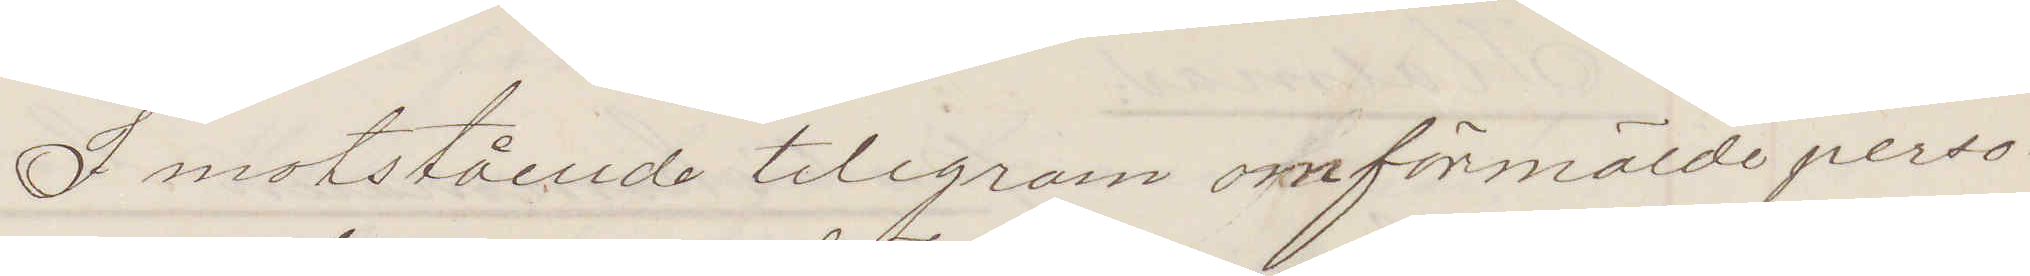I motstående telegram omförmälde perso¬
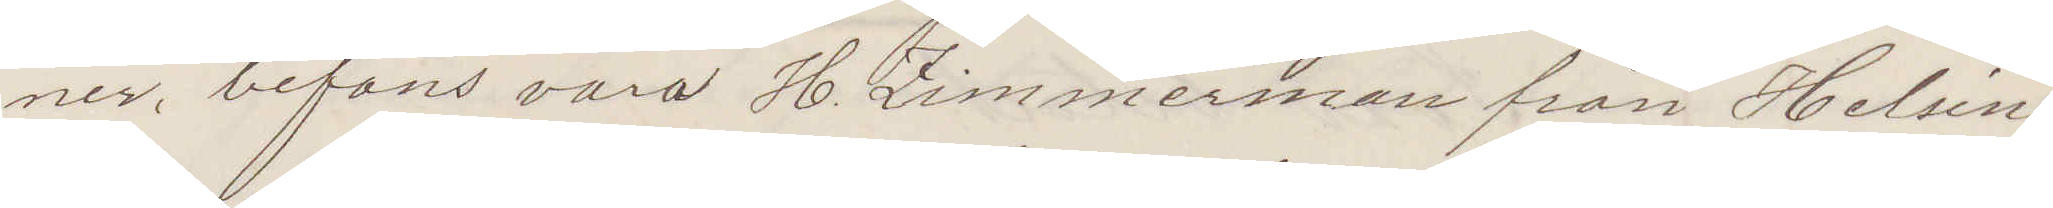ner befans vara H. Zimmerman från Helsing¬
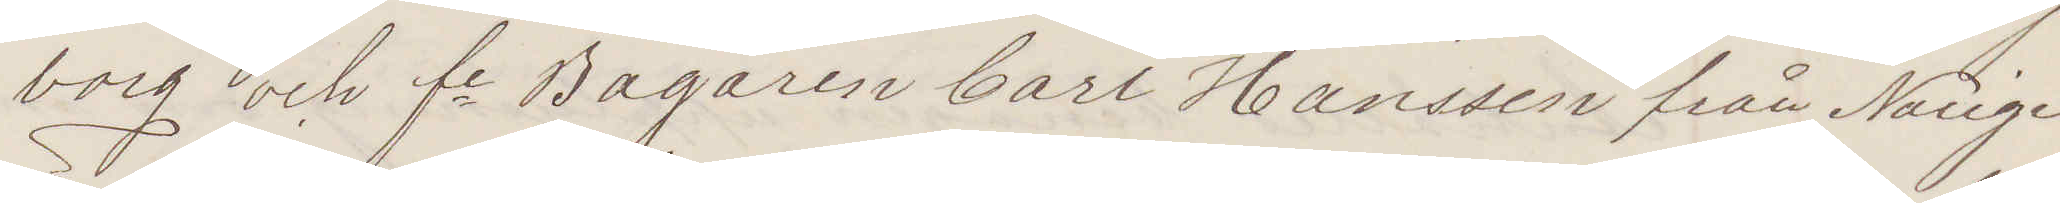borg och fe Bagaren Carl Hanssen från Norige
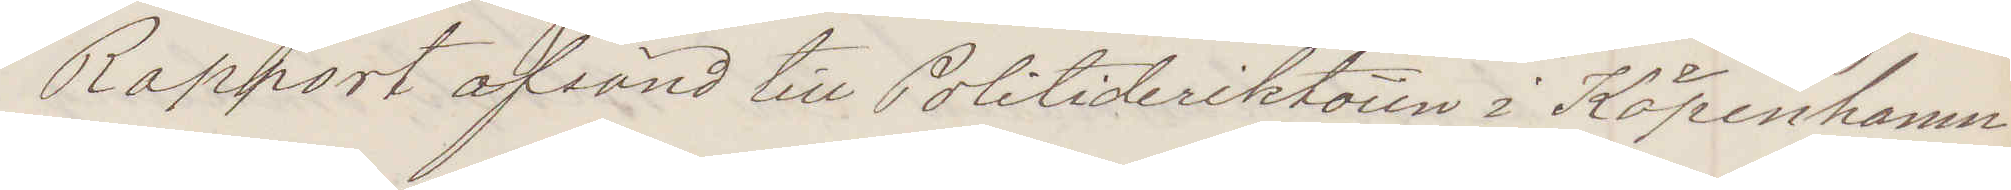Rapport afsänd till Politideriktören i Köpenhamn
